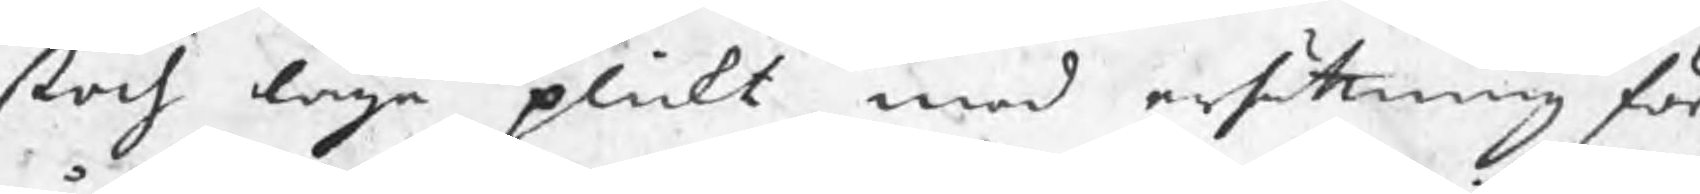stod laga plickt med ersättning för
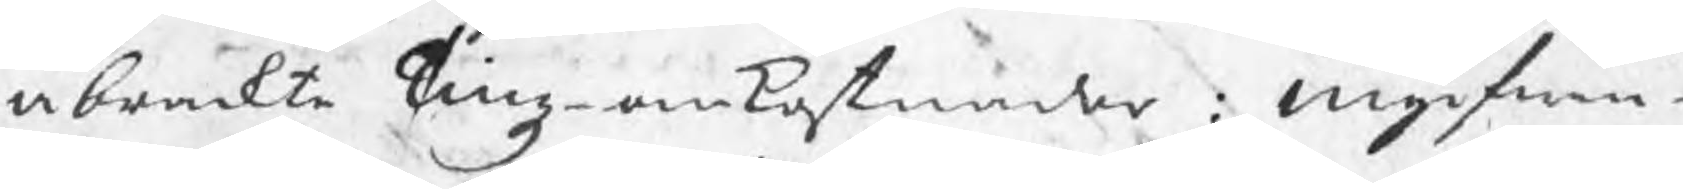åbrackte Tingz omkostnader: ingifwan¬
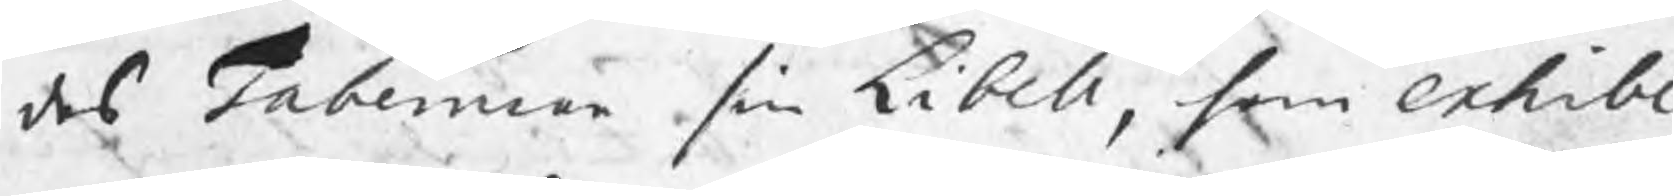des Taberman sin Libell, som exhibe¬
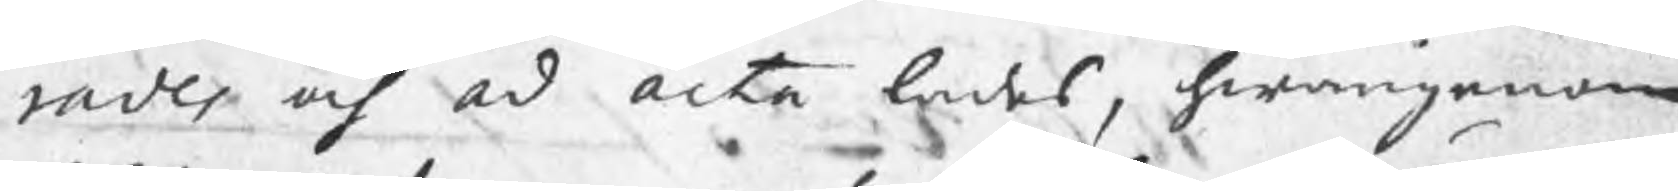rades och ad acta lades, hwarigenom
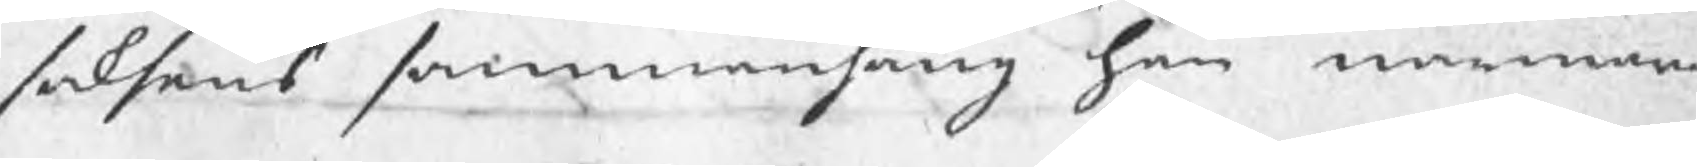saksens sammanhang han närmare
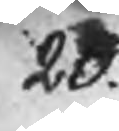20.
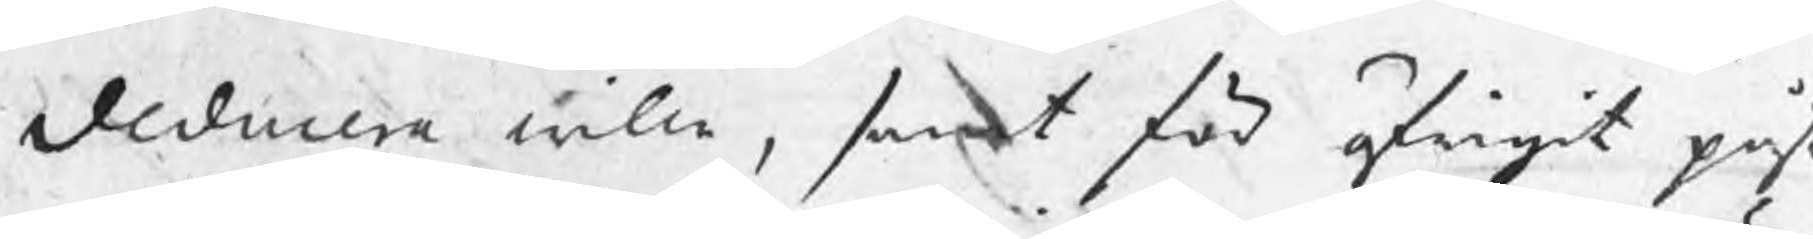deducera wille, samt för öfrigit pås
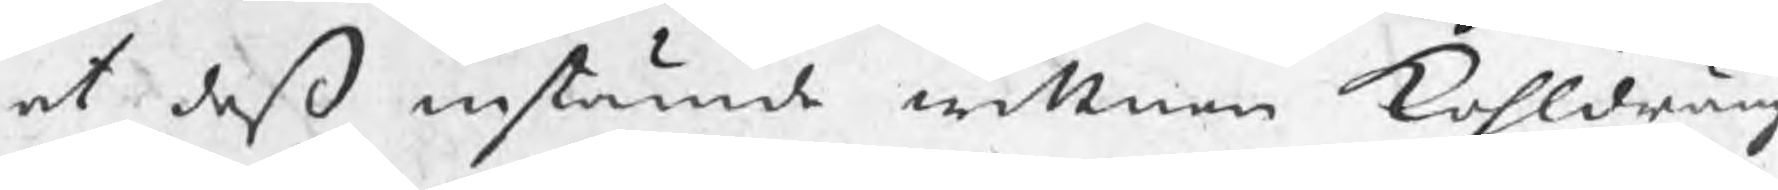at deß instämde wittnen Kohldräng
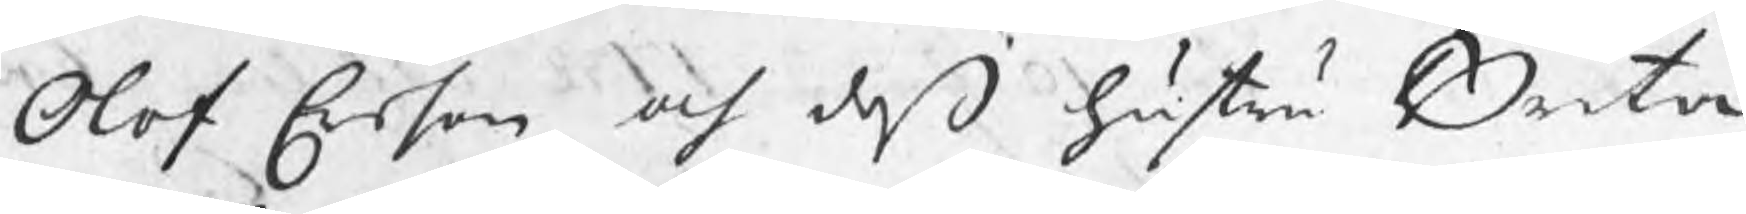Olof Erson och deß hustru Brita
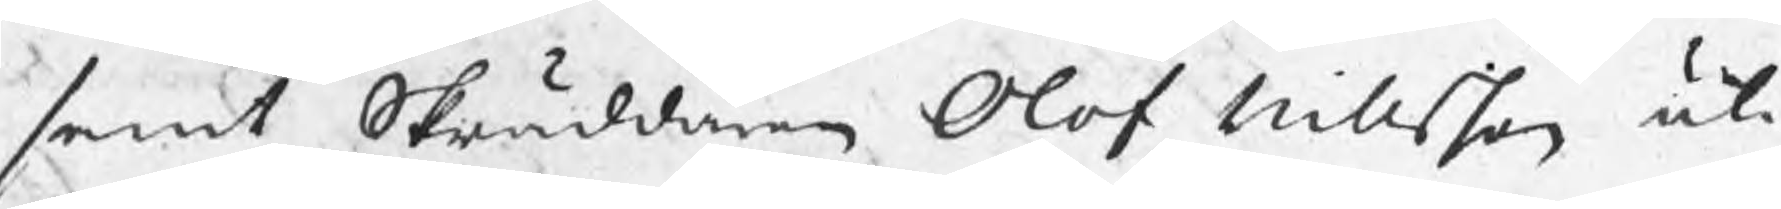samt Skräddaren Olof Nillsson uti
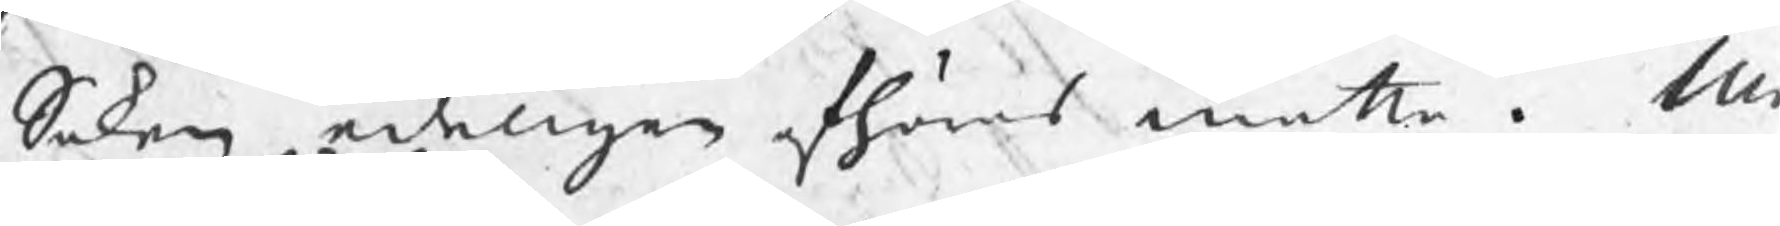Saken edeligen afhöras måtte. M
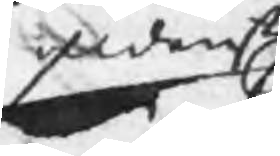aldenstund
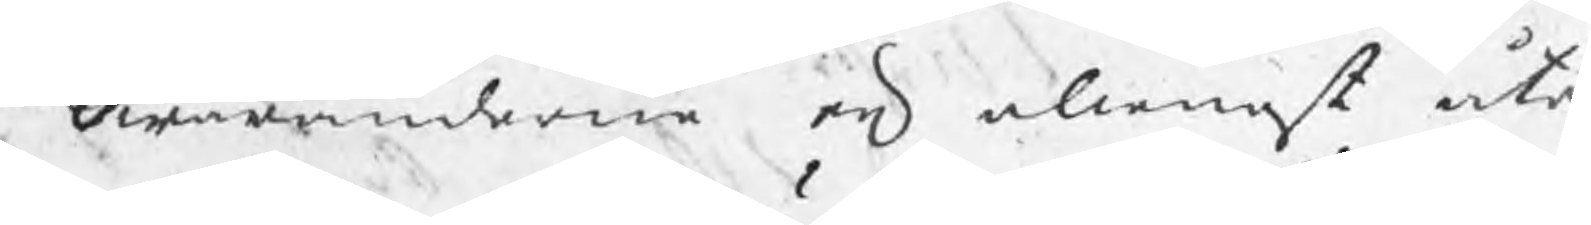som Swaranderne är allenast åte
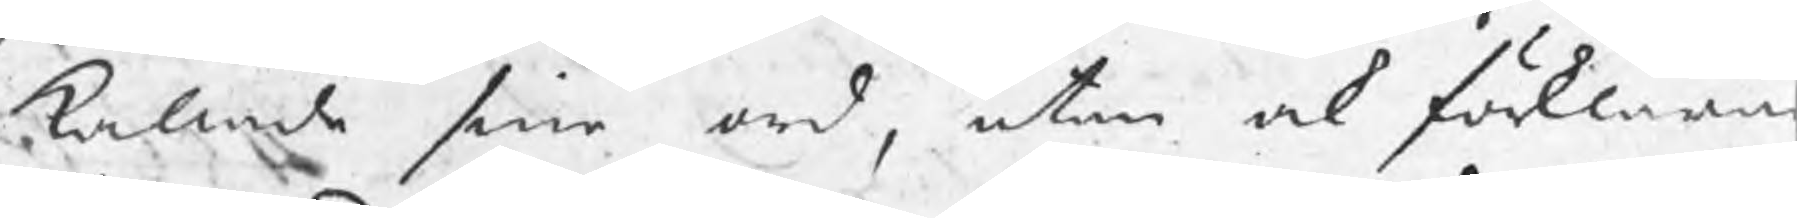kallade sine ord, utan ock förklara
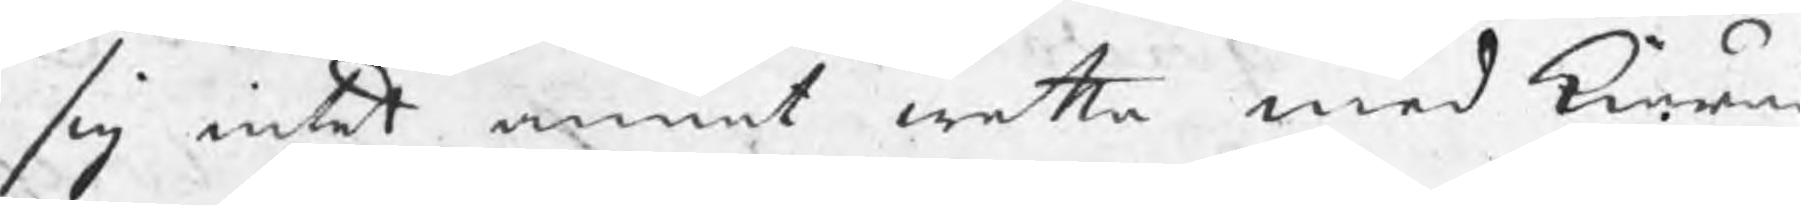sig intet annat wetta med Kiära
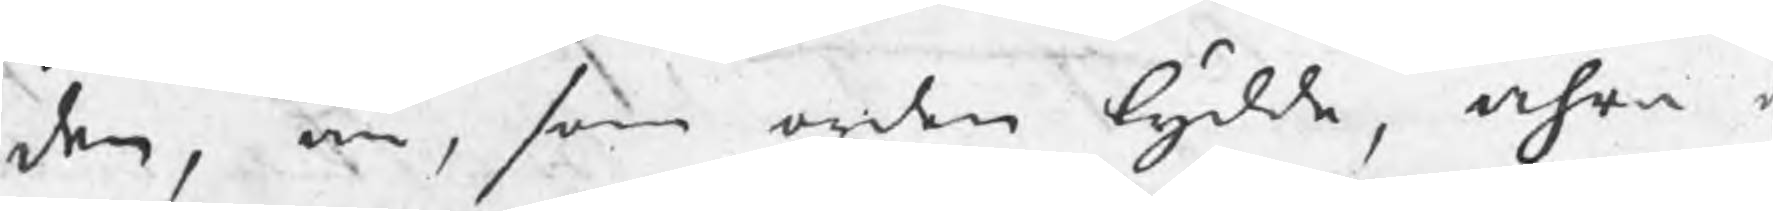den, än, som orden lydde, ähra o
